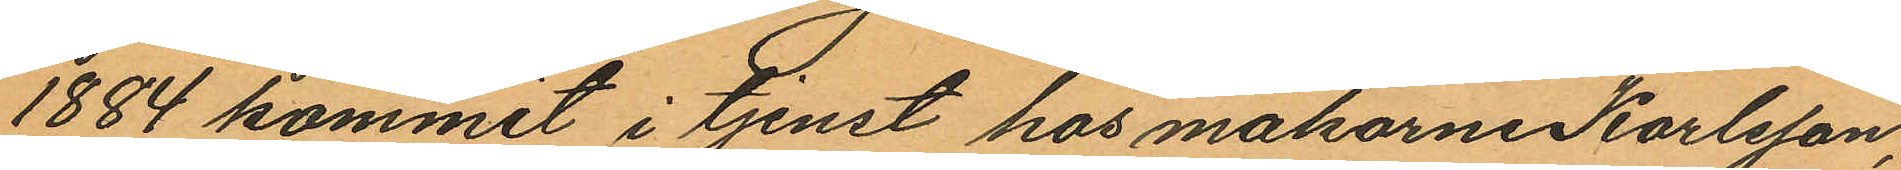1884 kommit i tjenst hos makarne Karlsson,
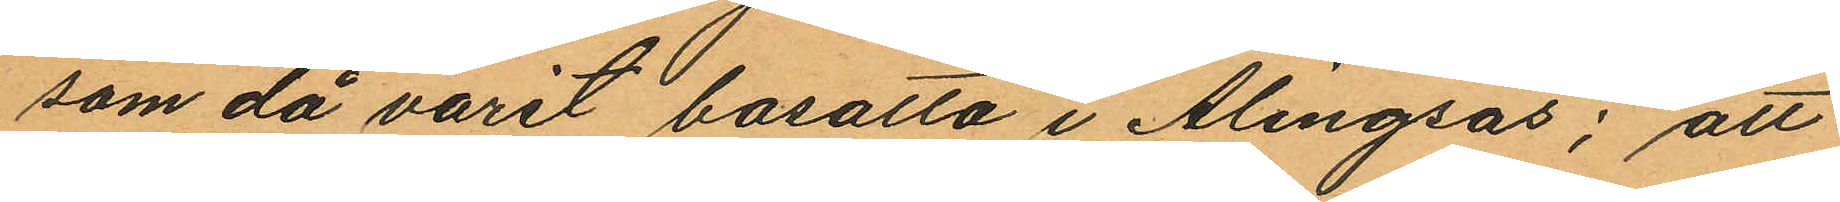som då varit bosatta i Alingsås; att
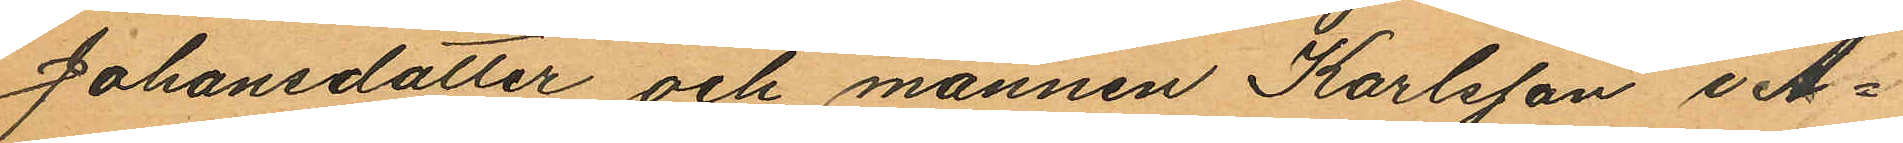Johansdotter och mannen Karlsson i A¬
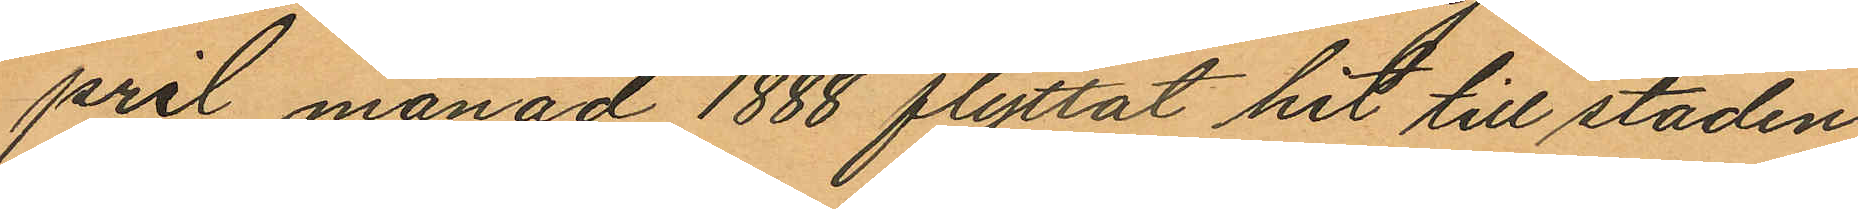pril månad 1888 flyttat hit till staden
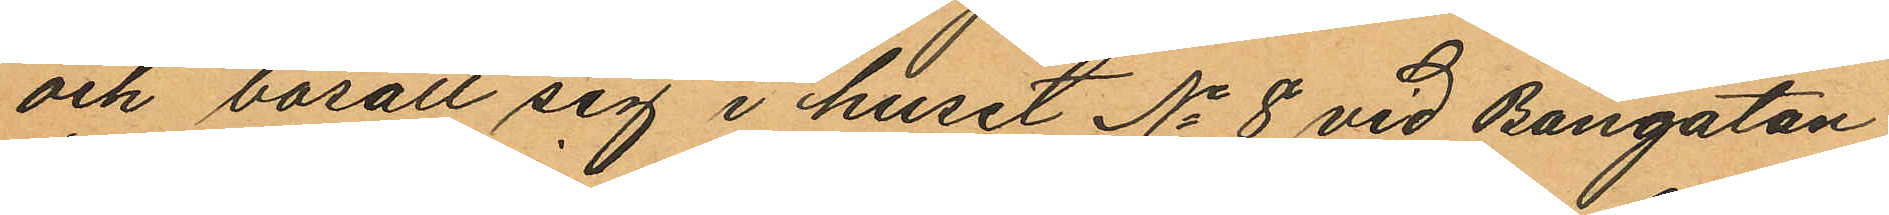och bosatt sig i huset No 8 vid Bangatan
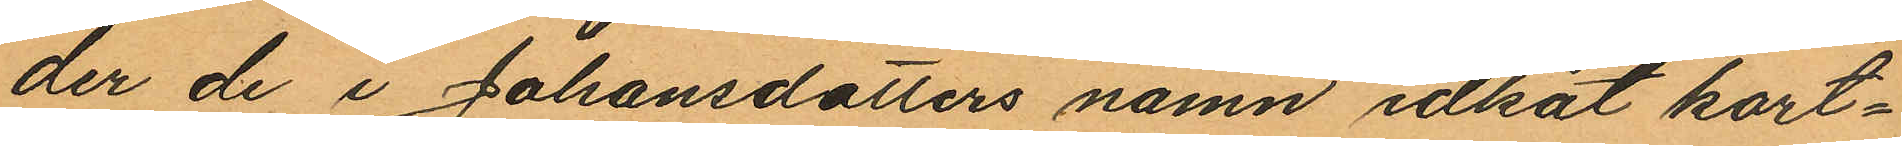der de i Johansdotters namn idkat kort¬
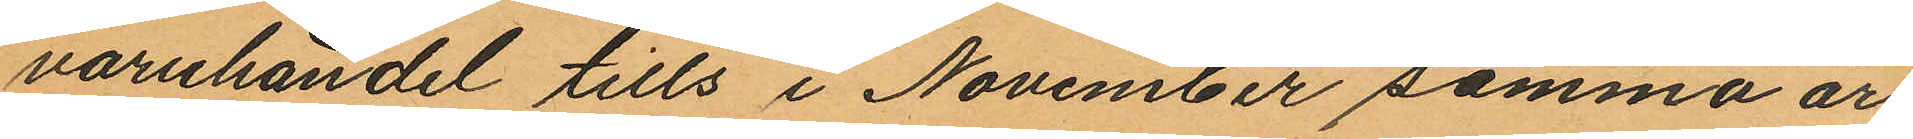varuhandel tills i November samma år;
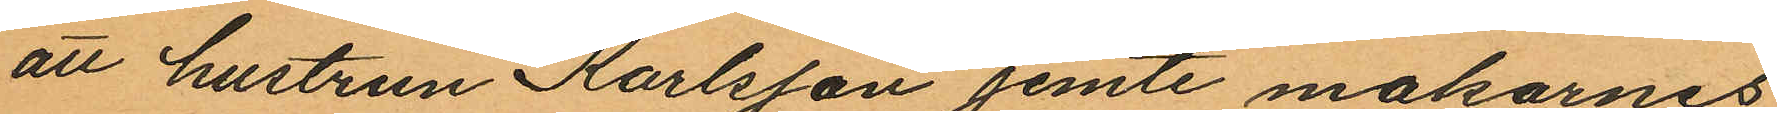att hustrun Karlsson jemte makarnes
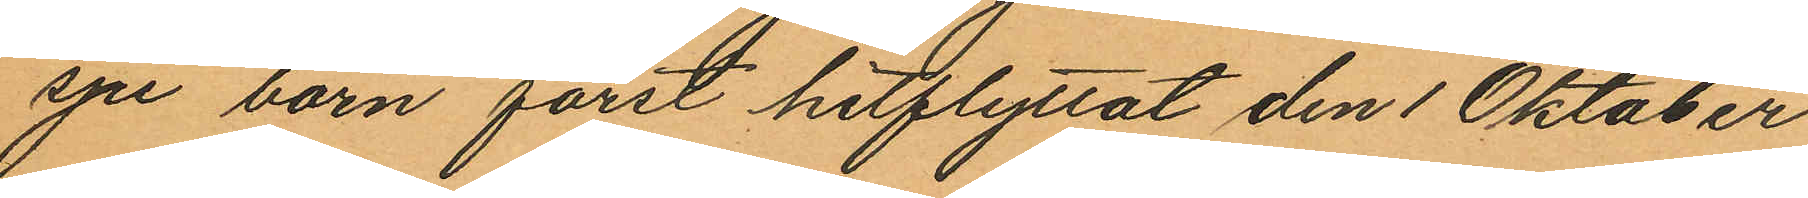sju barn först hitflyttat den 1 Oktober
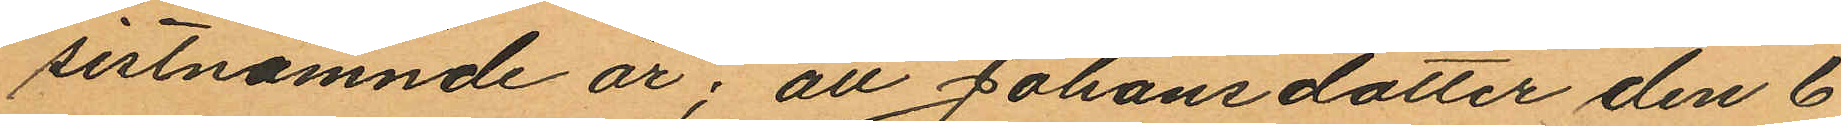sistnämnde år; att Johansdotter den 6
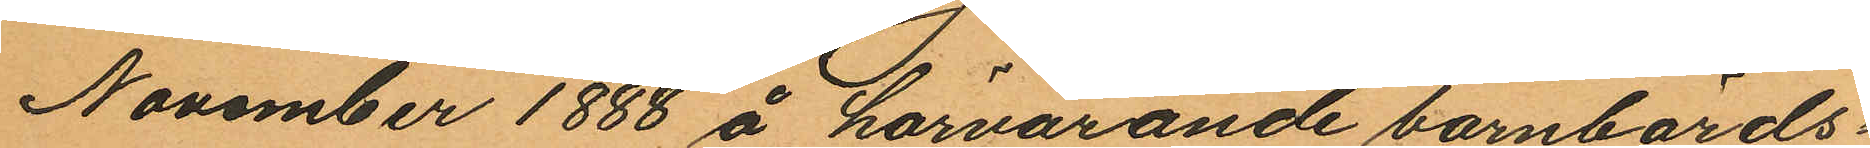November 1888 å härvarande barnbörds¬
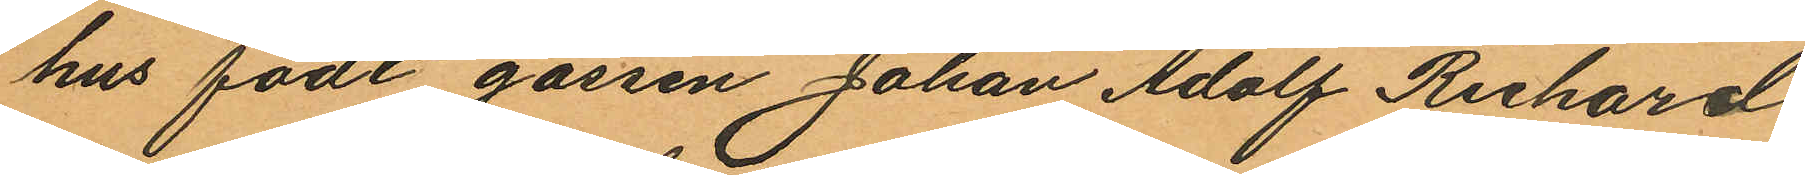hus födt gossen Johan Adolf Richard
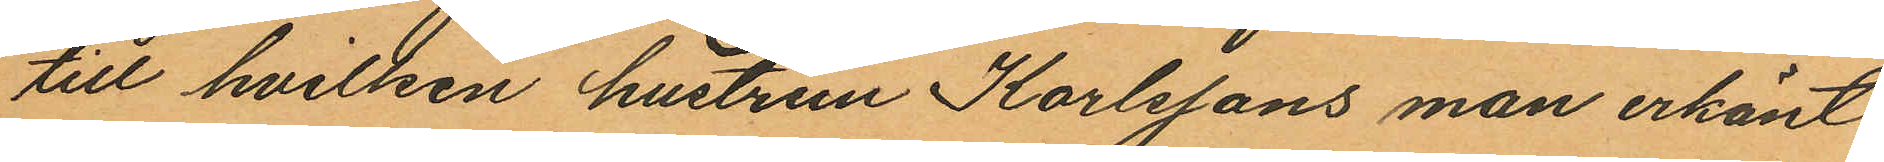till hvilken hustrun Karlssons man erkänt
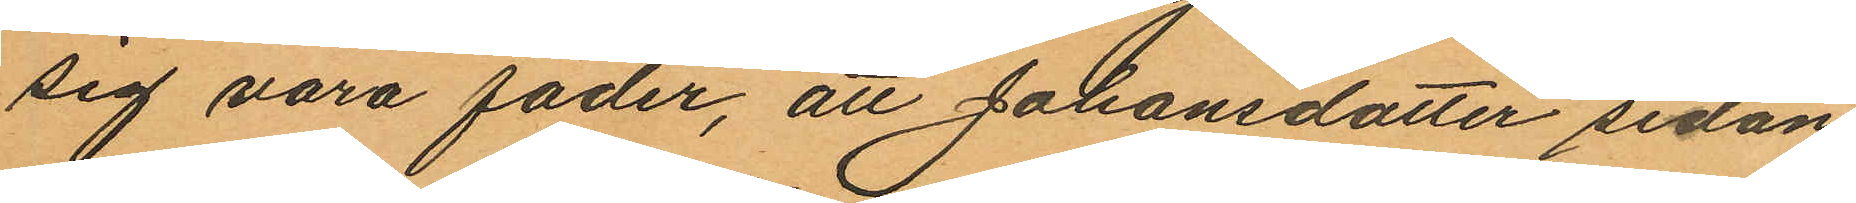sig vara fader, att Johansdotter sedan
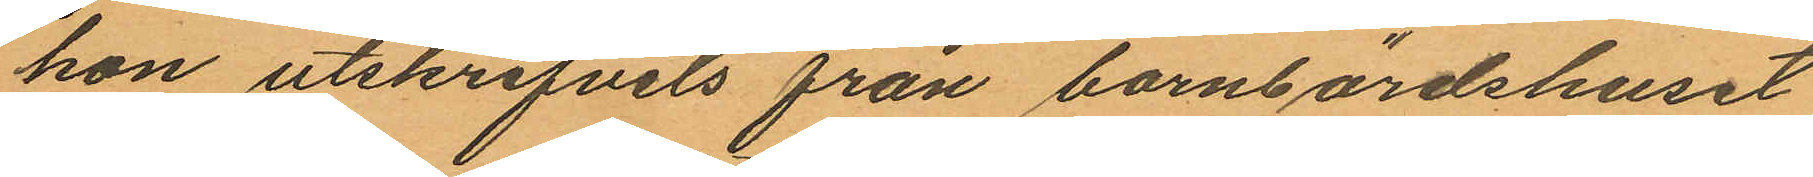hon utskrifvits från barnbördshuset
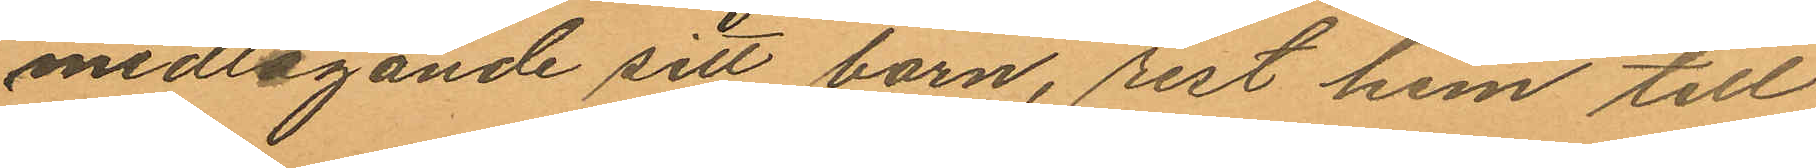medtagande sitt barn, rest hem till
